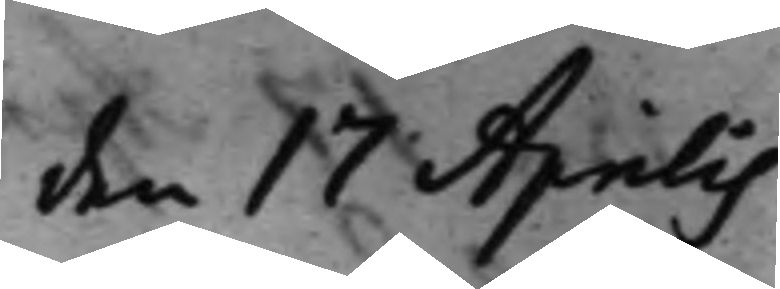den 17 Aprilis
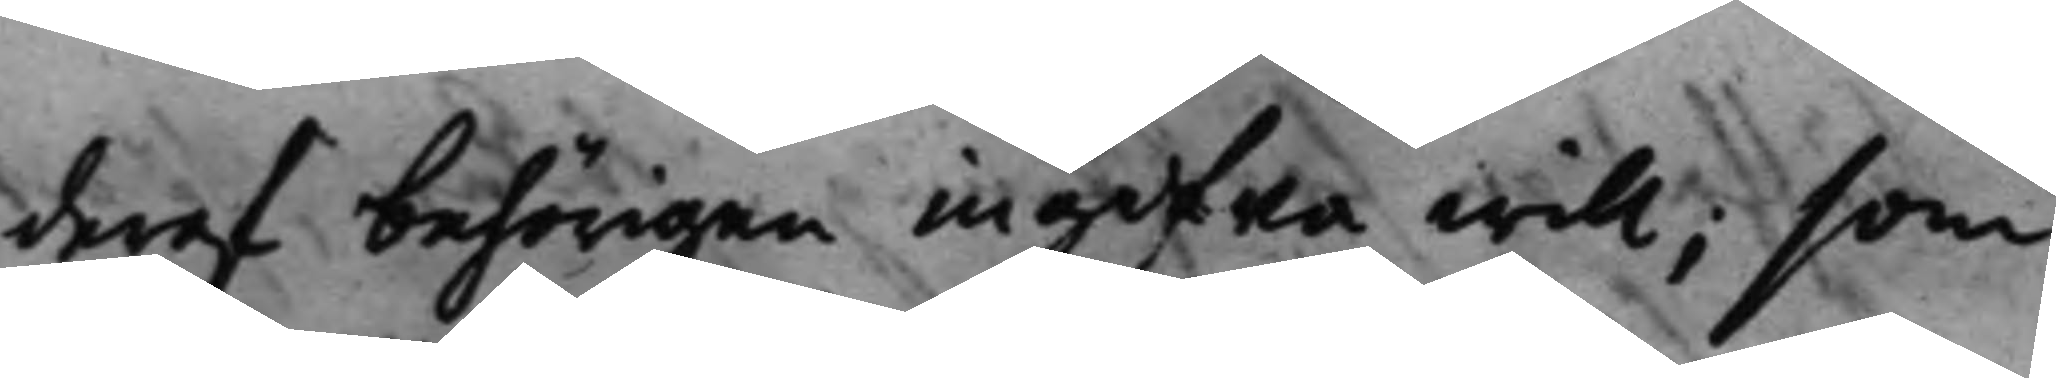deraf behörigen ingifwa will; som
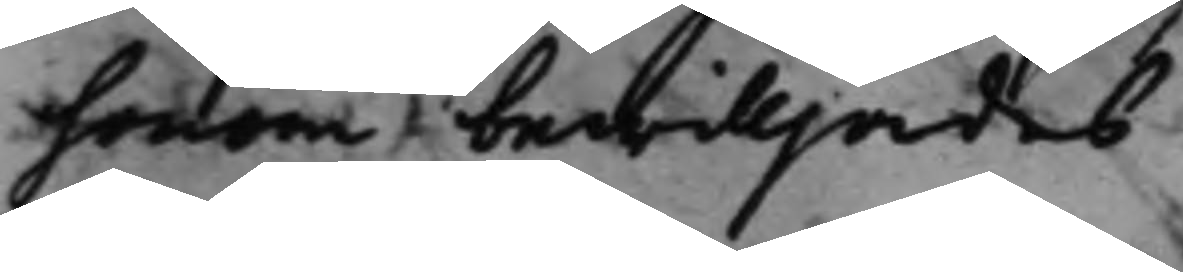honom bewilljades.
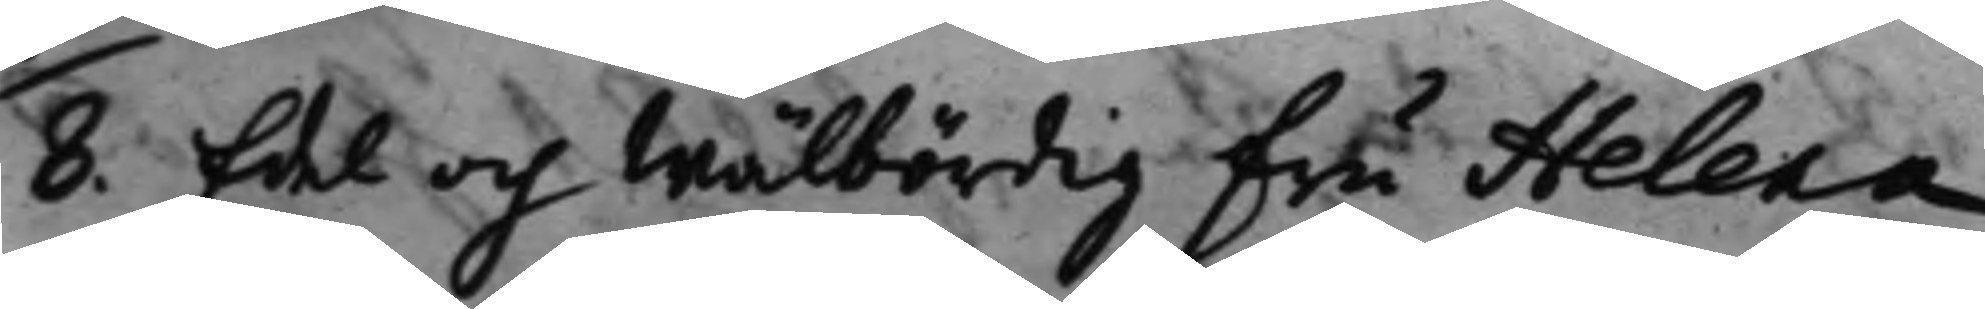8. Edel och Wälbördig Fru Helena 
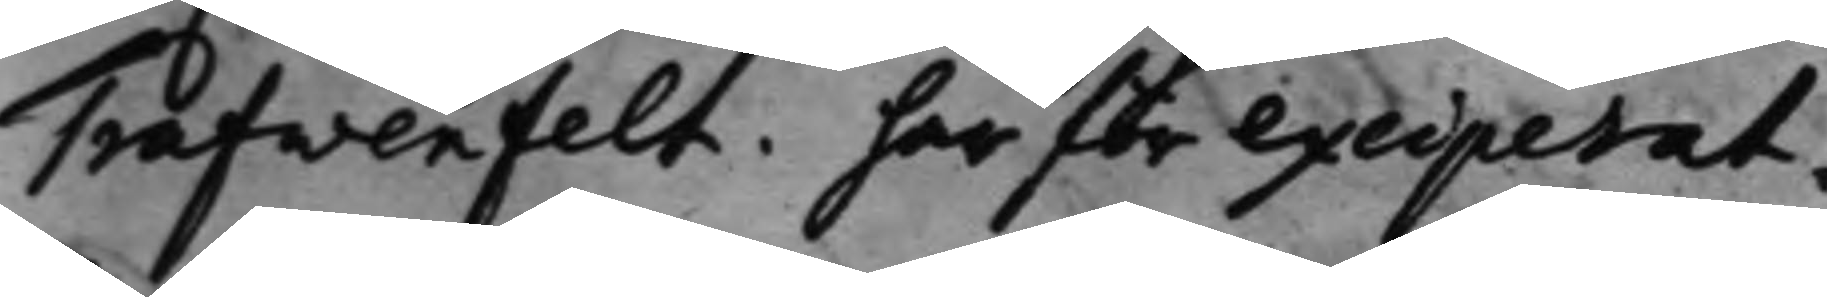Trafwenfelt. har för exciperat.
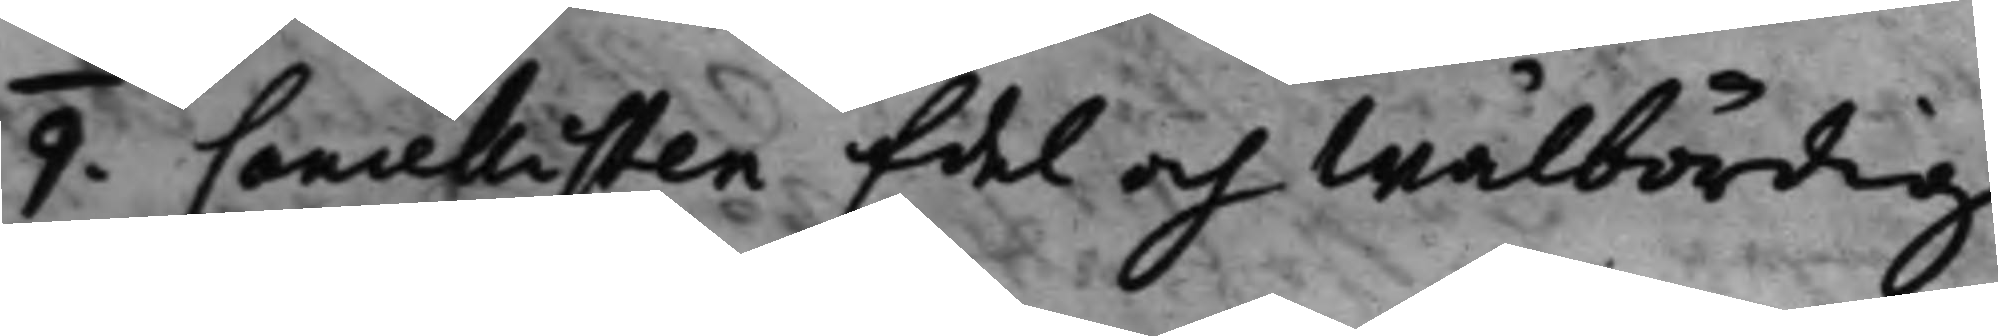9. Cancellisten Edel och Wälbördig 
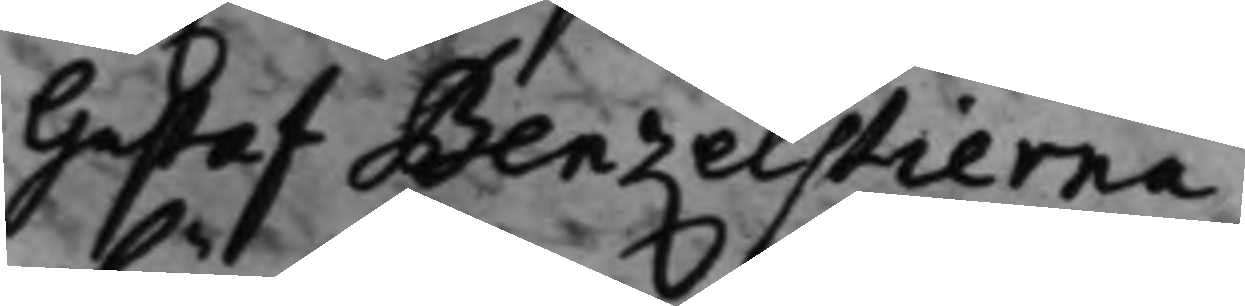Gustaf Benzelstierna.
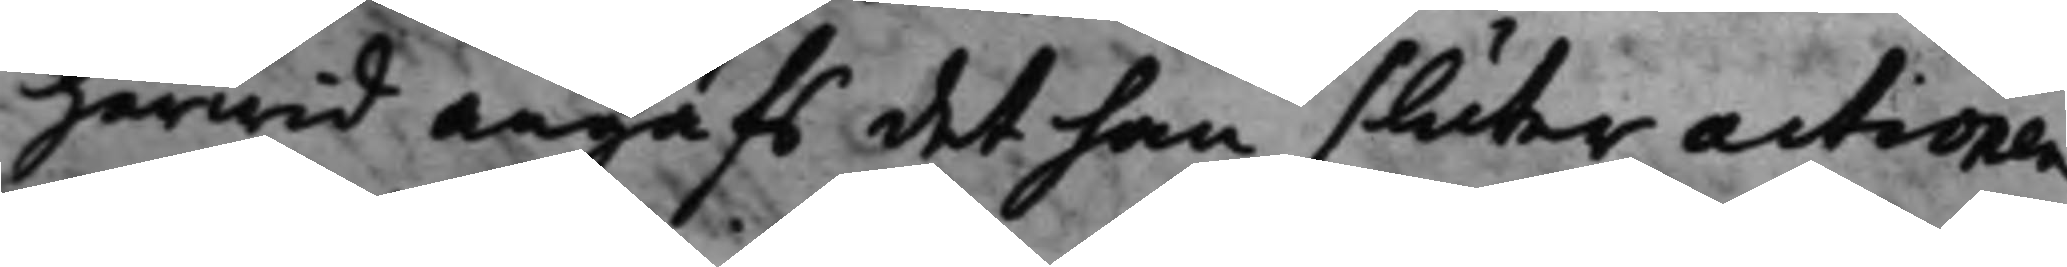härwid angafs, det han sluter actionen
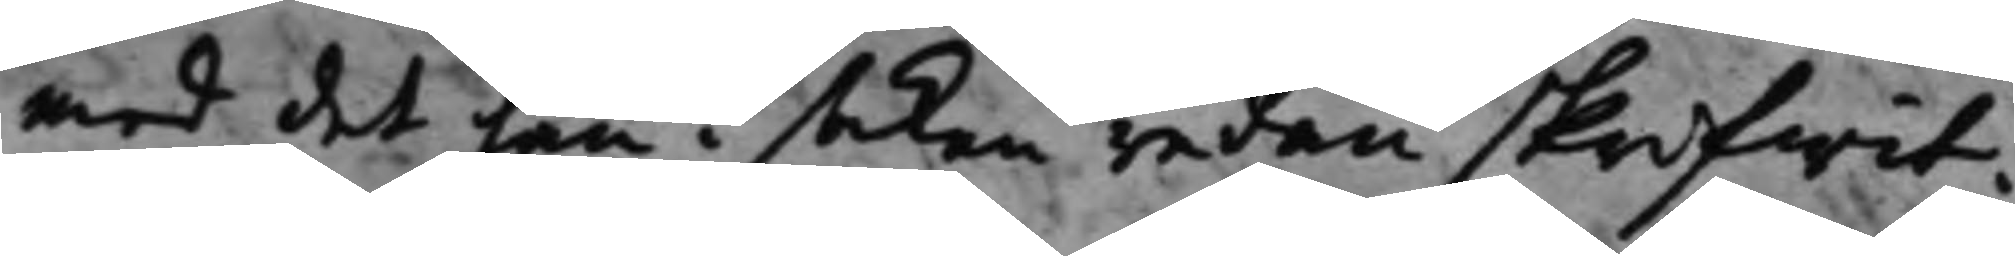med det han i saken redan skrifwit.
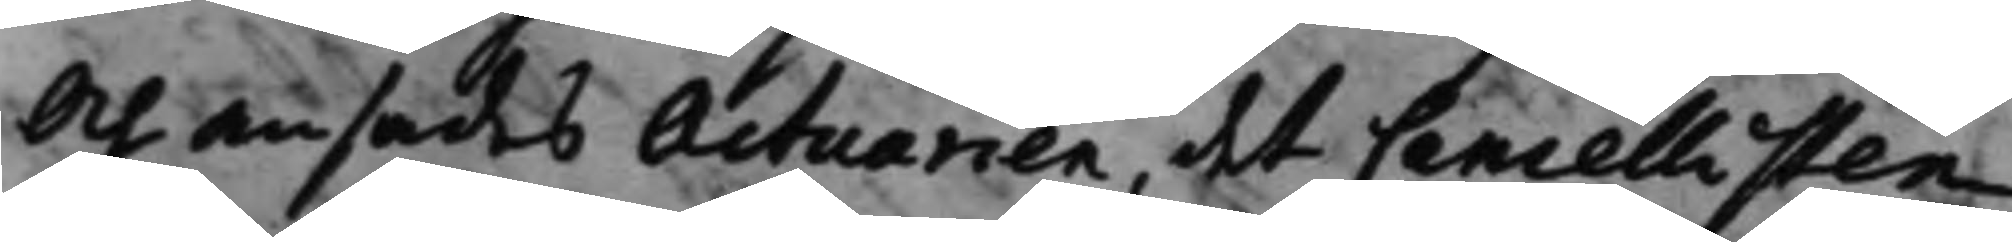Och ansades Actuarien, det Cancellisten
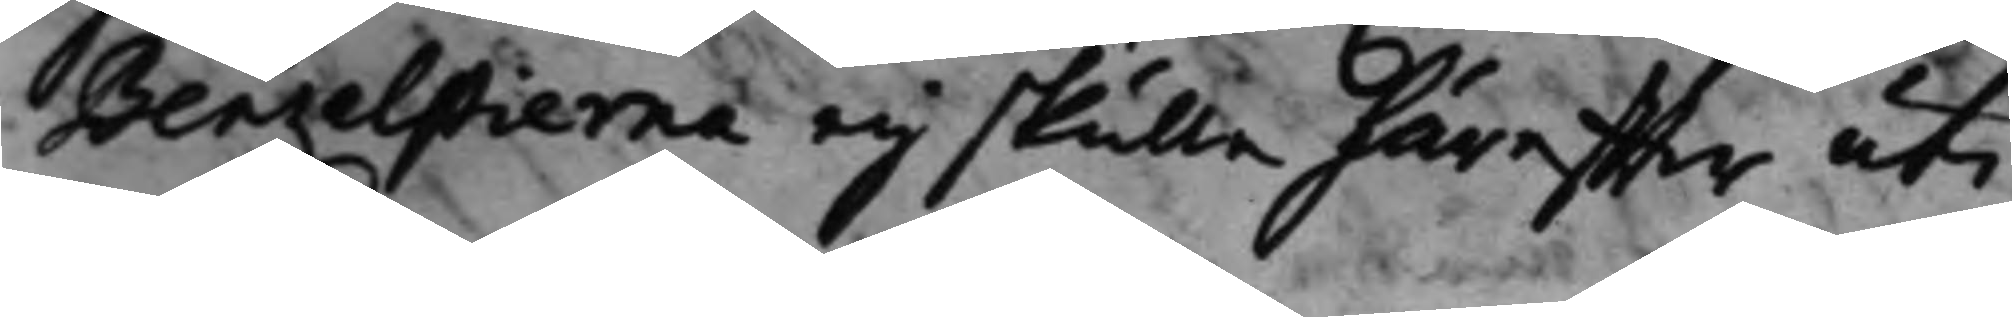Benzelstierna eij skulle häreffter uti
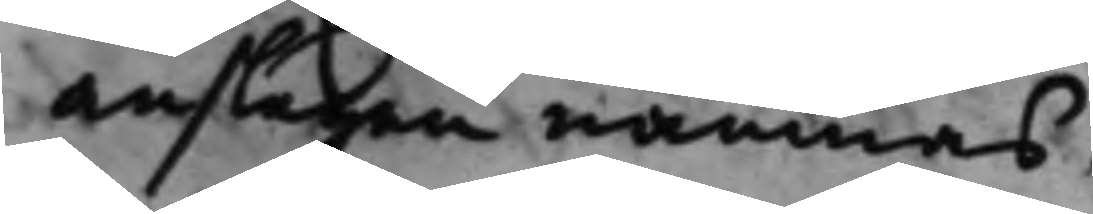anslagen nämnas.
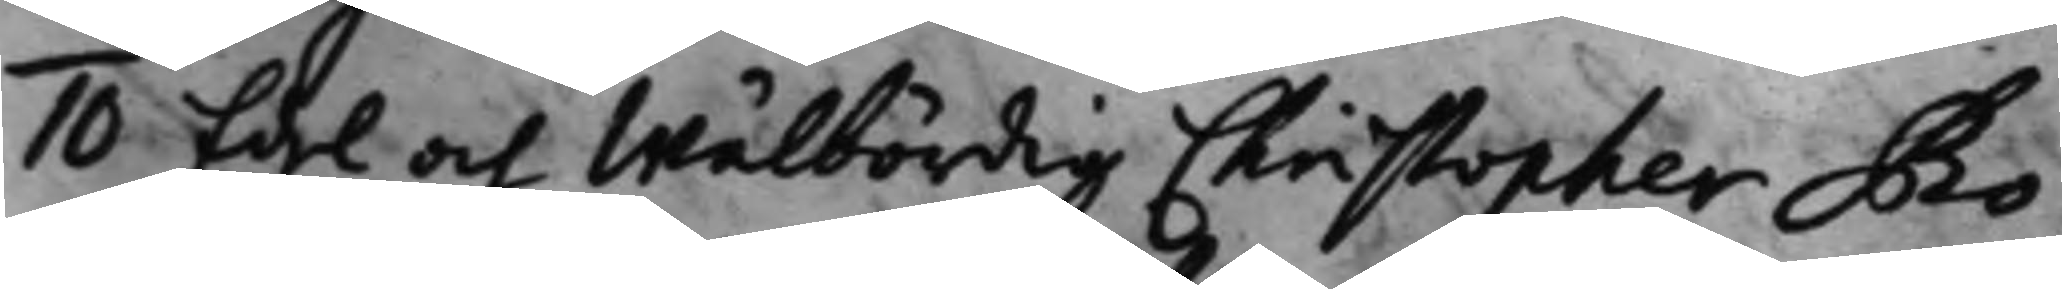10 Edel och Wälbördig Christopher Ro¬
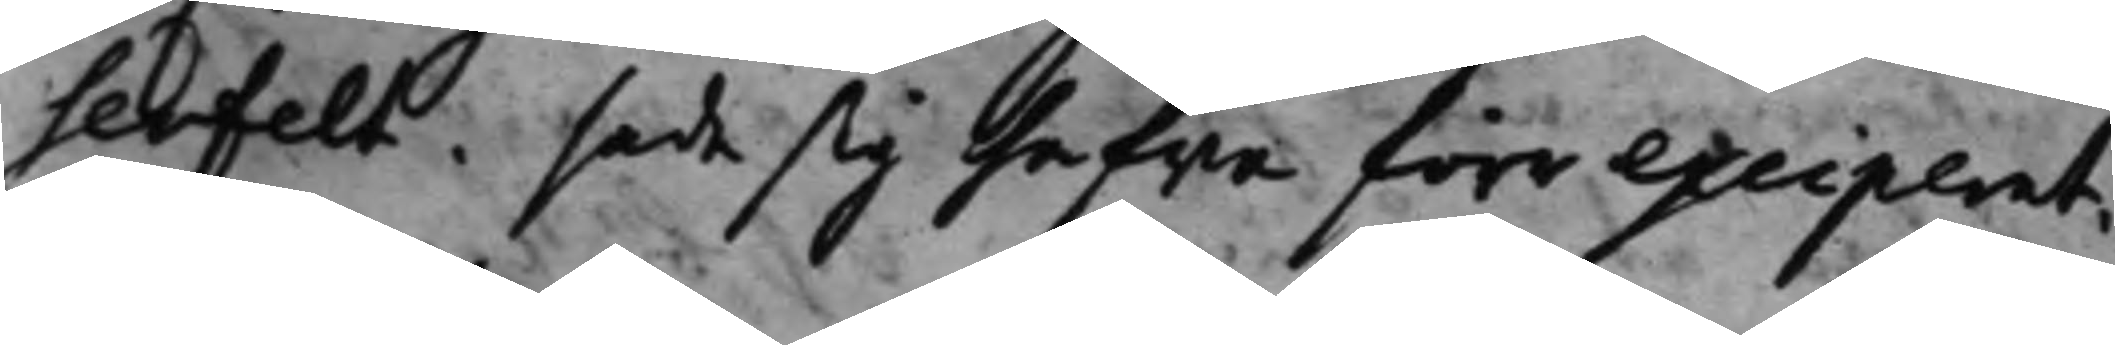senfelt, sade sig hafwa förr exciperat.
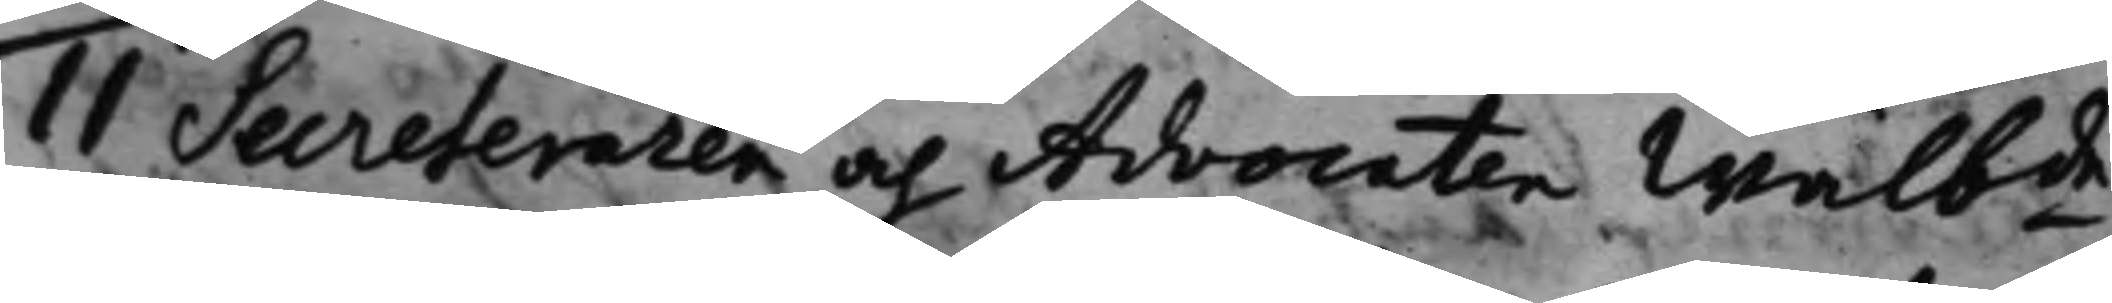11 Secreteraren och Advocaten Wälbde 
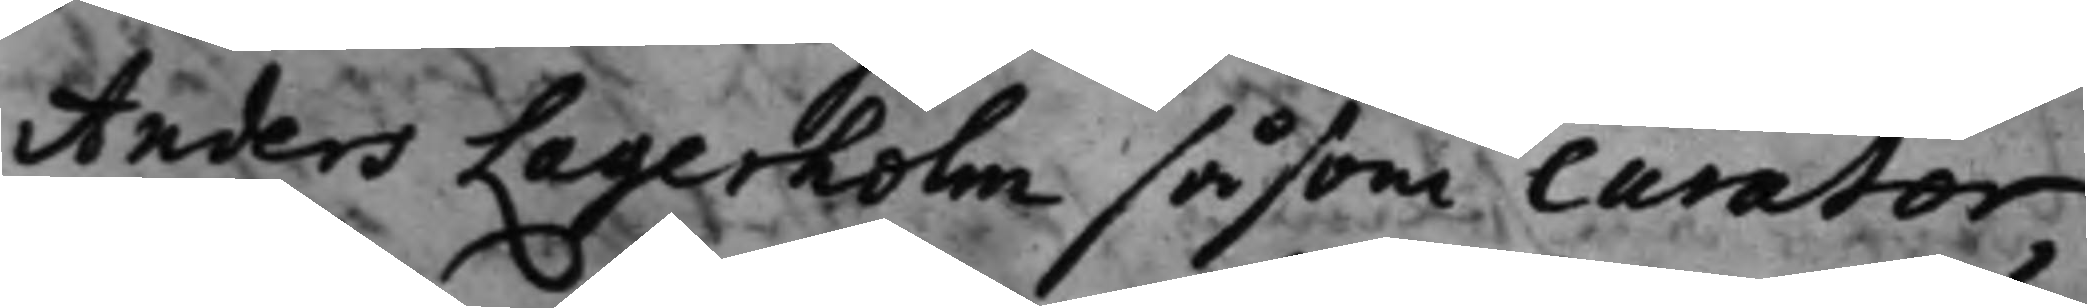Anders Lagerholm såsom Curator
